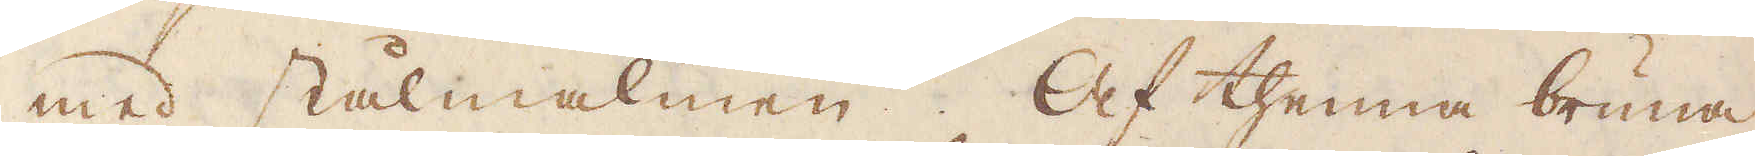med stålmalmen. Af thenna bruna
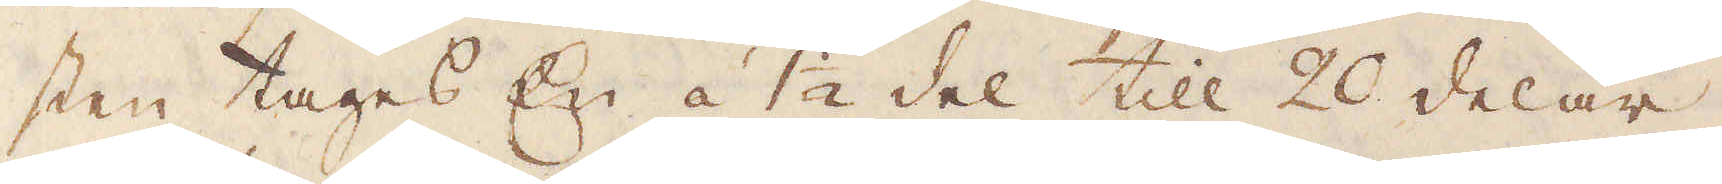sten tages En á 1 1/2 del till 20 delar
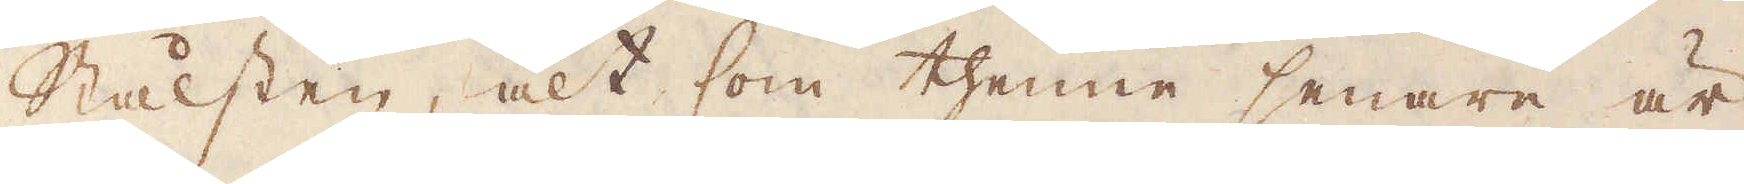Stålsten, alt som thenne senare är
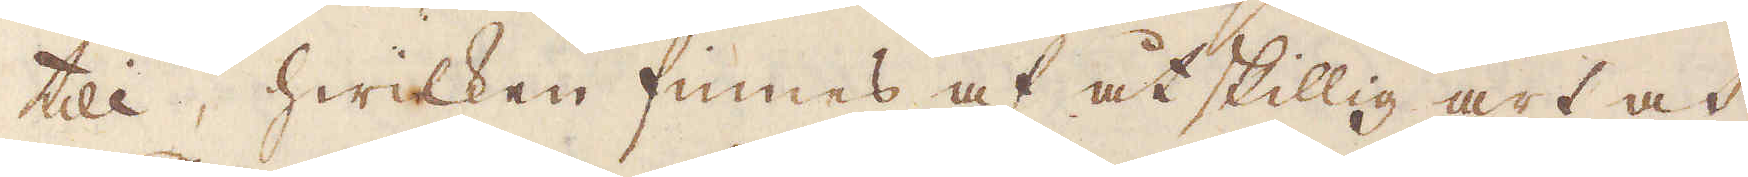till, hwilken finnes af åtskillig art och
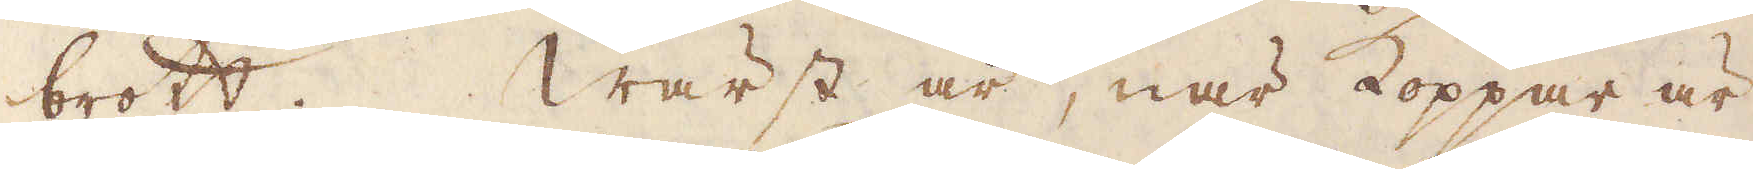brott. Wärst är, när Koppar är
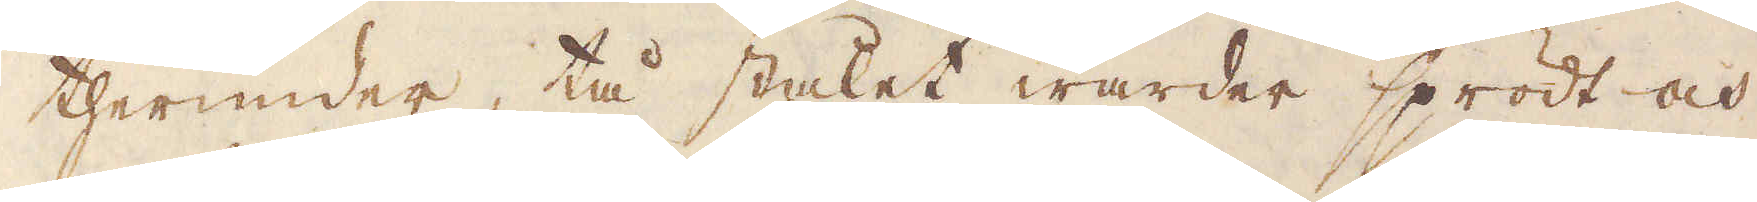therunder, tå stålet warder sprödt och
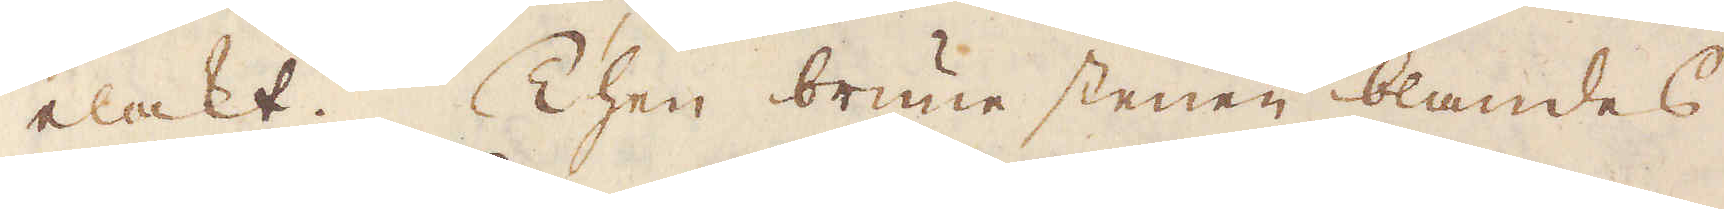elakt. Then brune stenen blandes
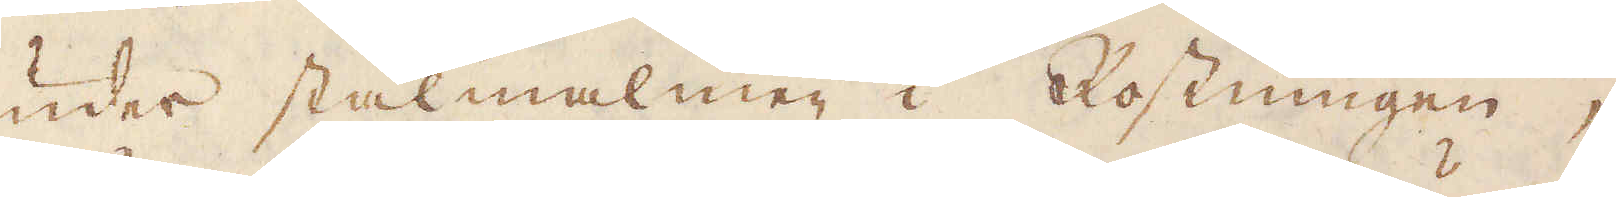under stålmalmen i Rostningen,
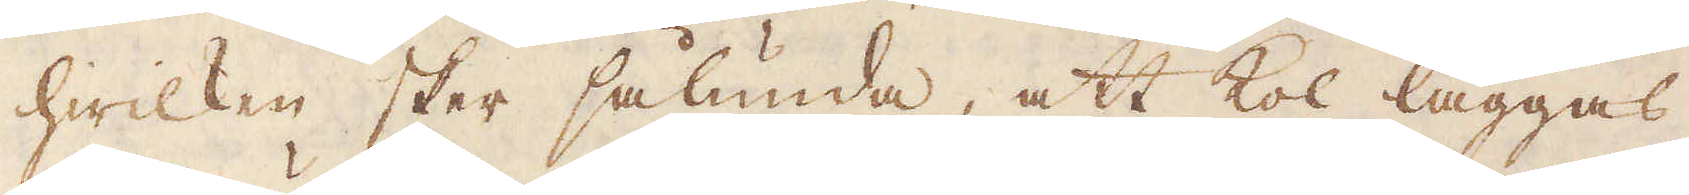hwilken sker sålunda, att kol läggas
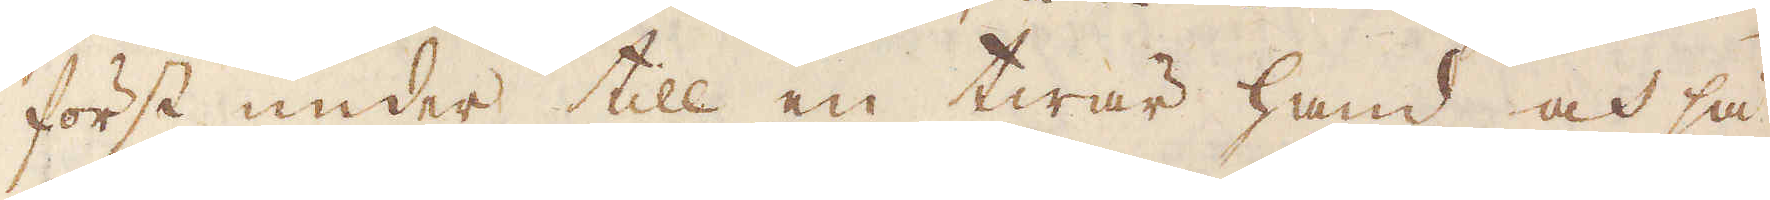först under till en twär hand och så
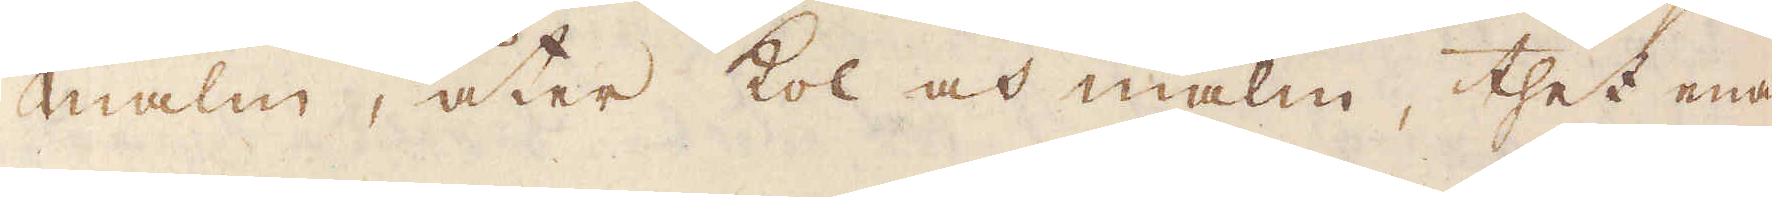malm, åter kol och malm, thet ena
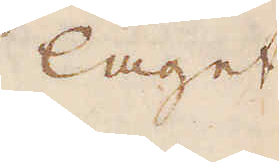laget
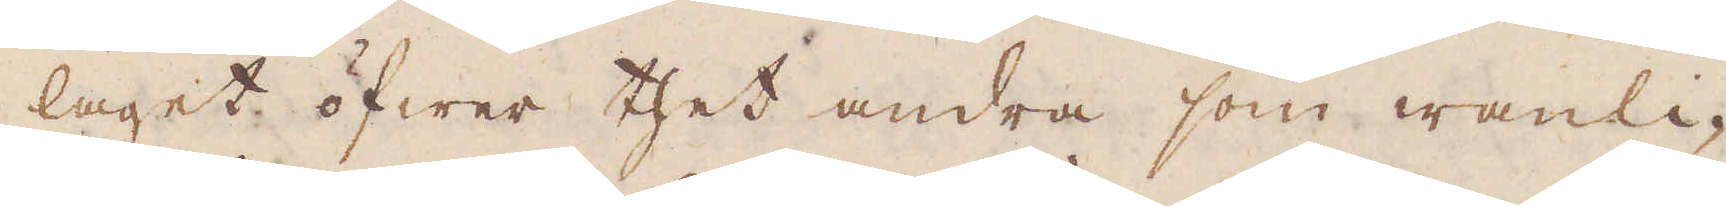laget öfwer thet andra som wanli-
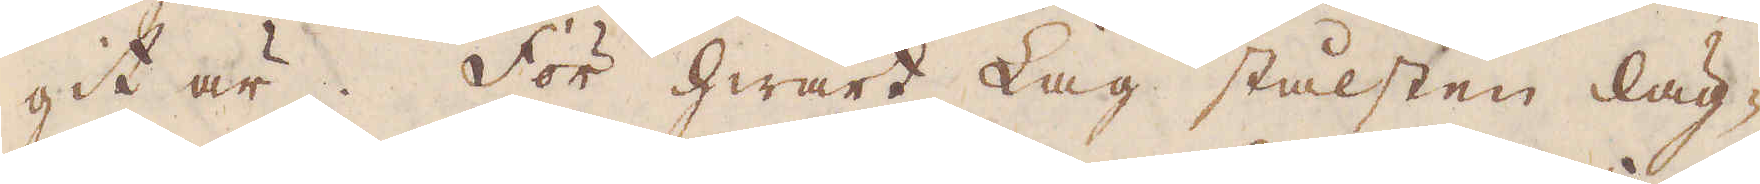git är. För hwart Lag stålsten läg-
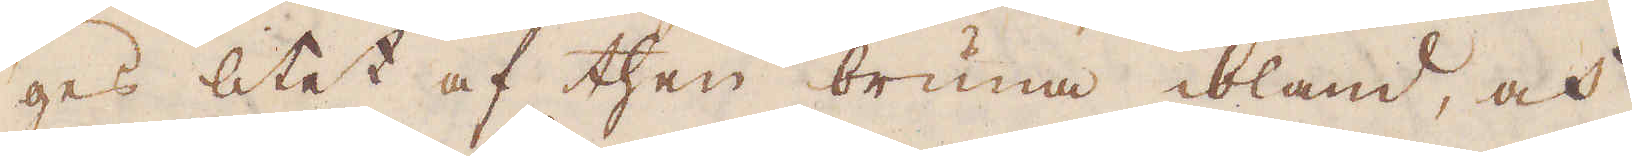ges litet af then bruna ibland, och
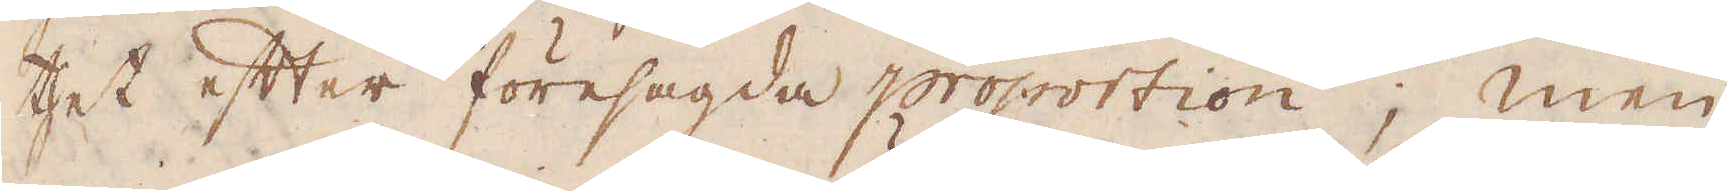thet efter föresagda proportion; men
